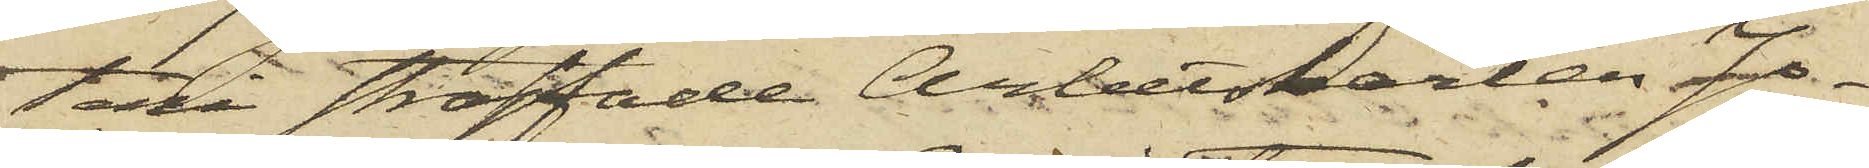teri straffade Arbetskarlen Jo¬
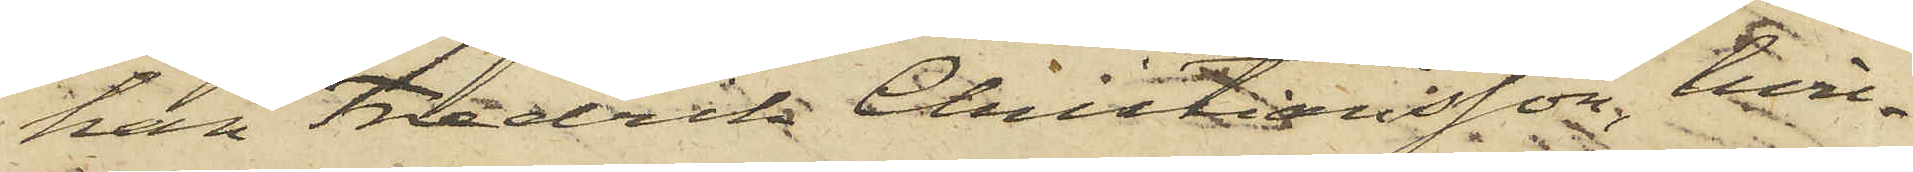han Fredrik Christansson, hvil¬
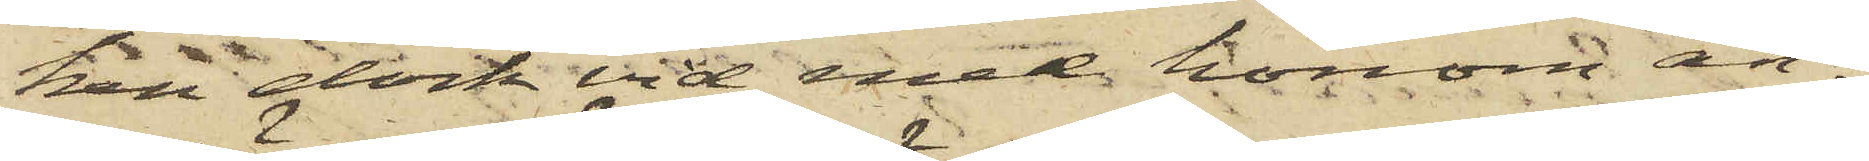ken dock vid med honom an¬
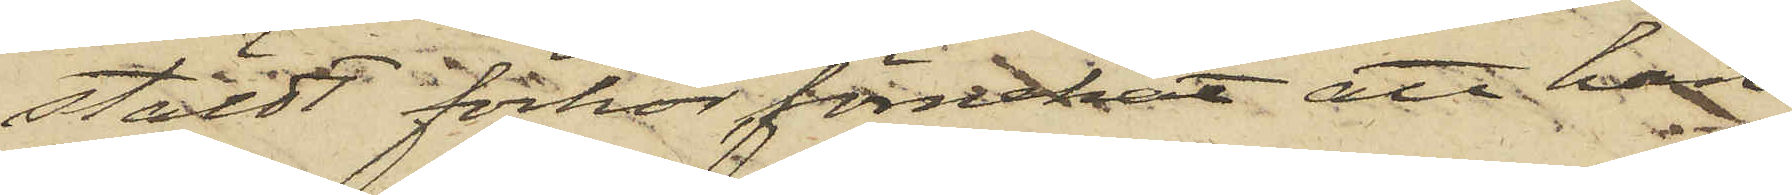stäldt förhör förnekat att han
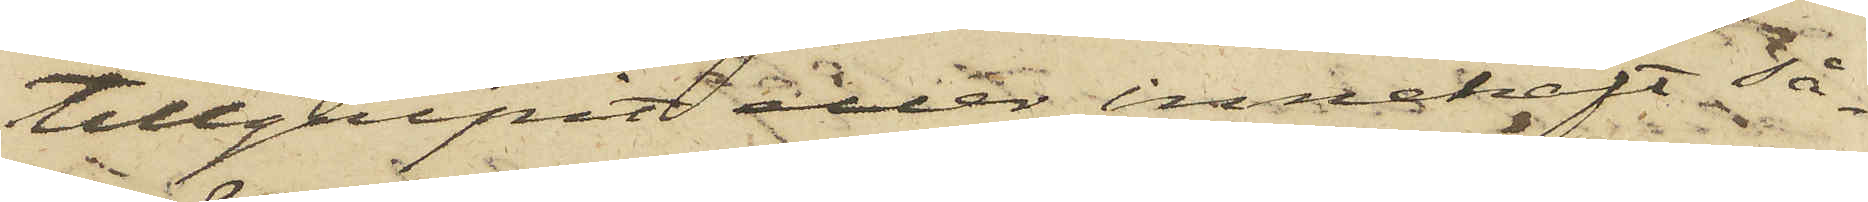tillgripit eller innehaft så¬
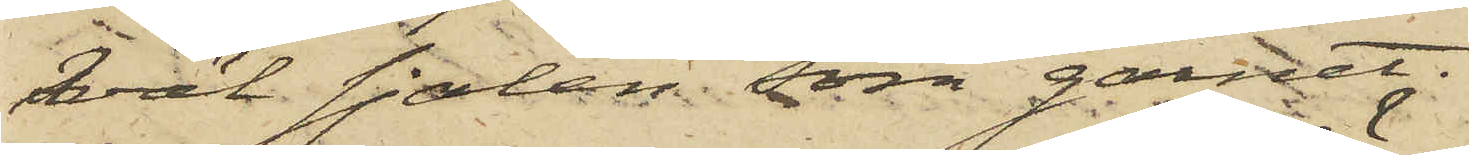väl sjalen som garnet.
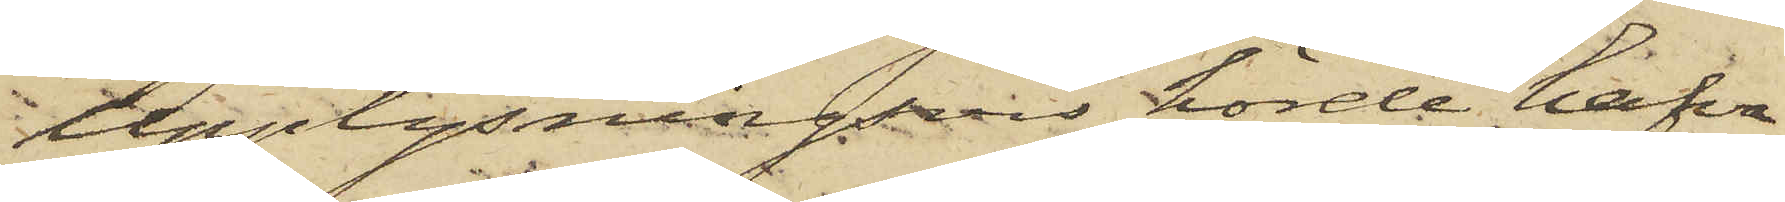Upplysningsvis hörde hafva
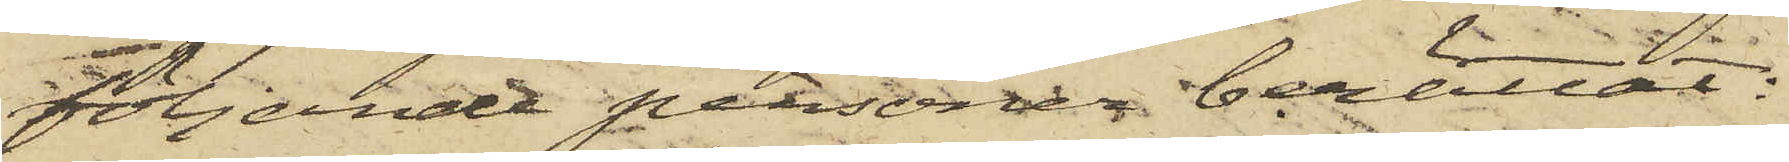följande personer berättat:
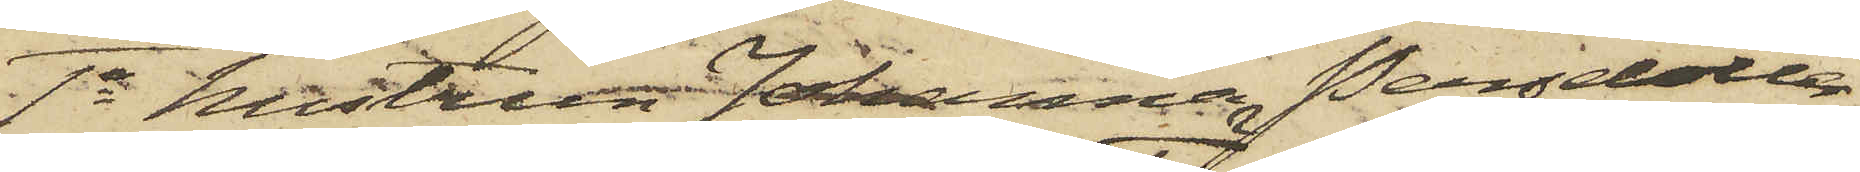1o Hustrun Johanna Persdotter,
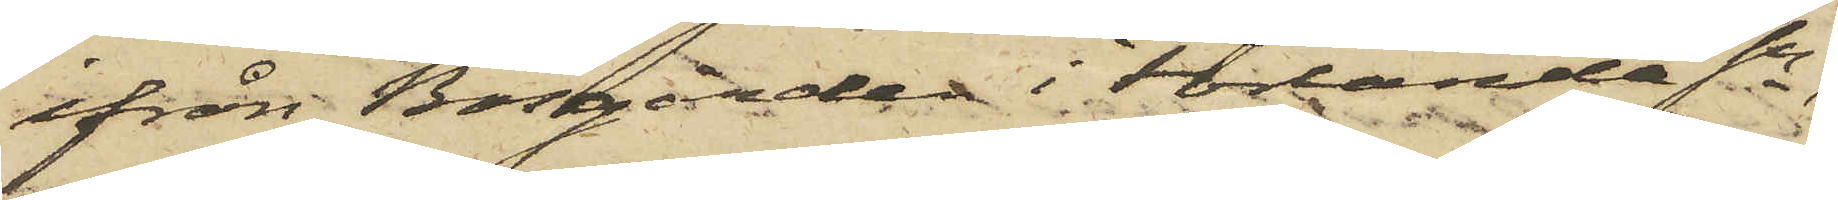ifrån Bosgården i Förlanda Sn,
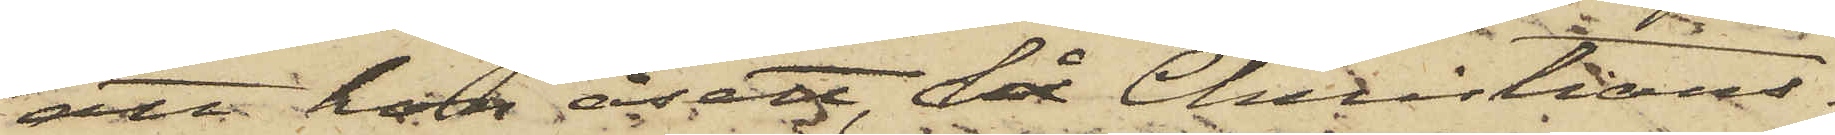att hon åsett, då Christians¬
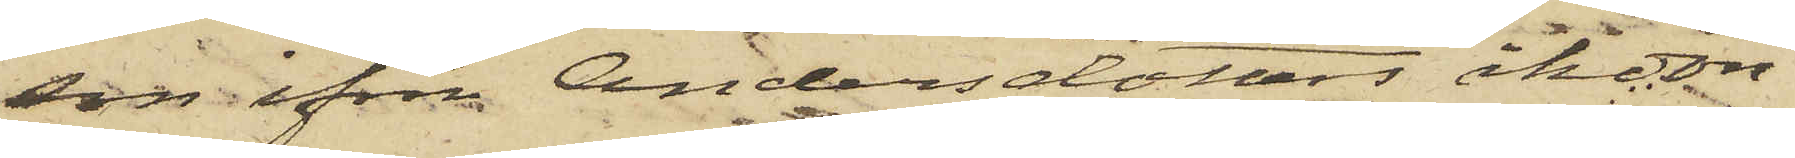son ifrån Andersdotters åkdon
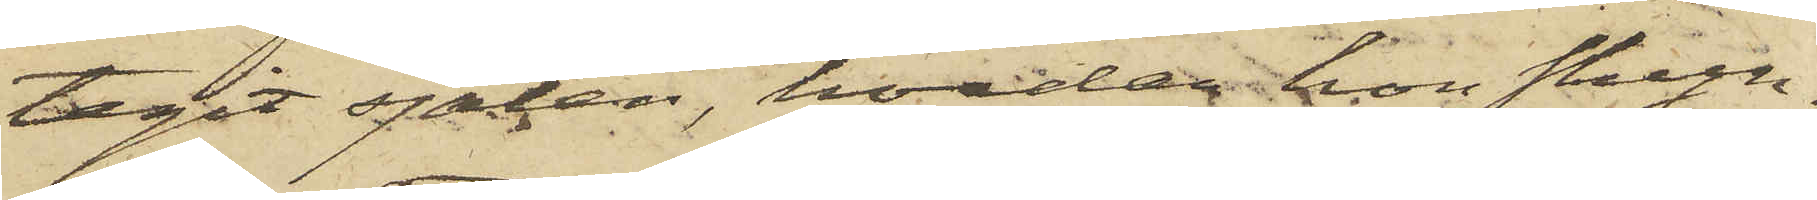tagit sjalen, hvadan hon skyn¬
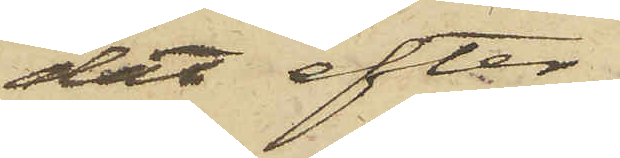dat efter
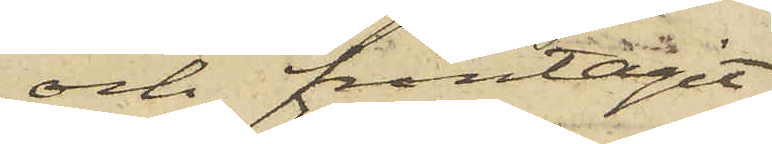och fråntagit
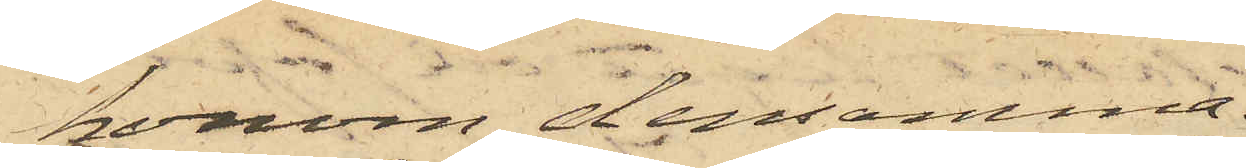honom densamma.
